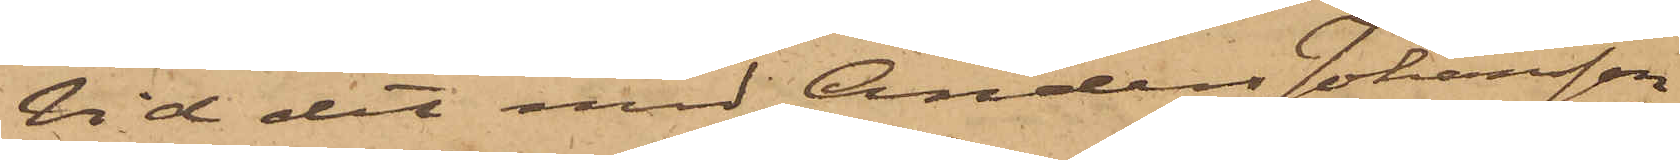Vid det med Anders Johansson
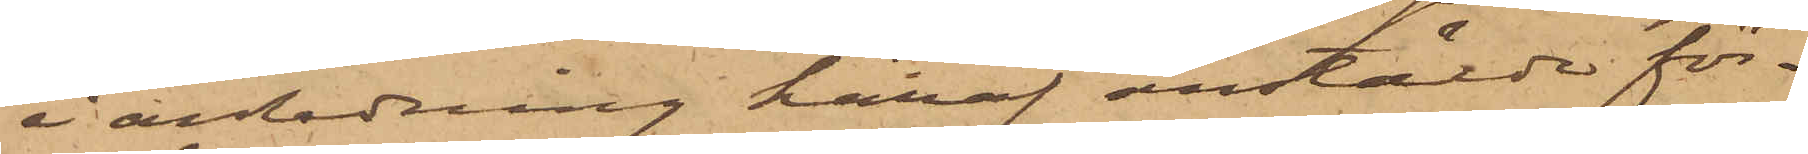i anledning häraf anstälde för¬
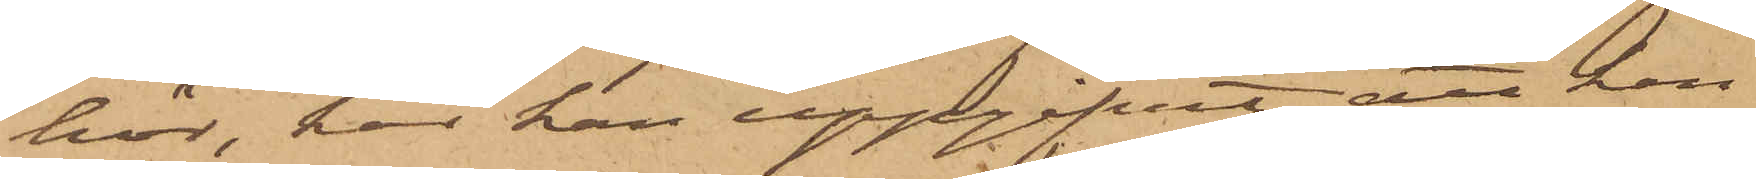hör, har han uppgifvit, att han
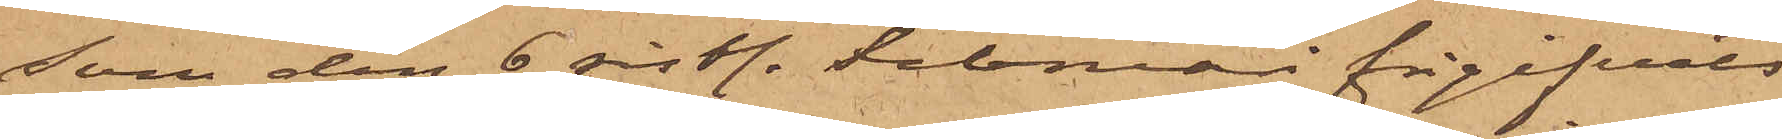som den 6 sistl. Februari frigifvits
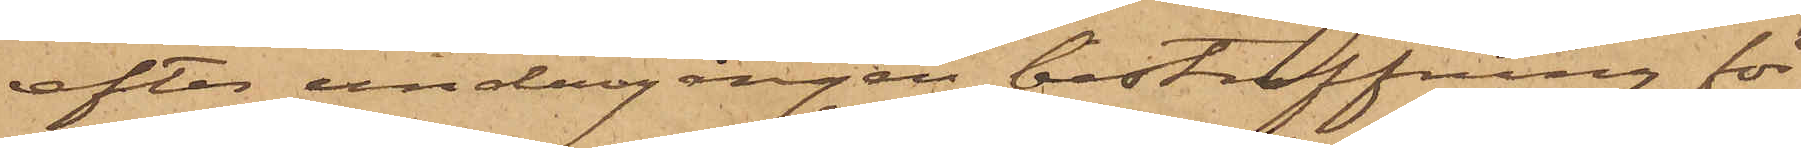efter undergången bestraffning för
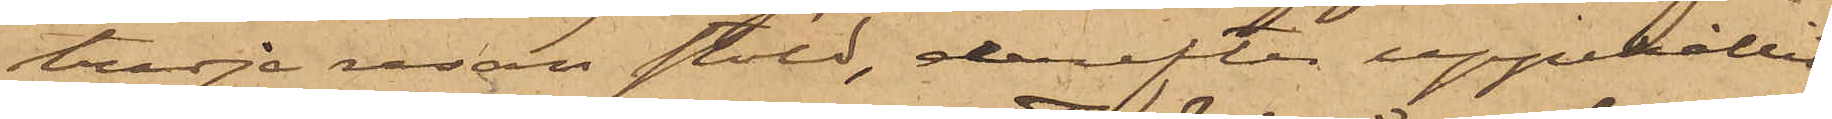tredje resan stöld, derefter uppehållit
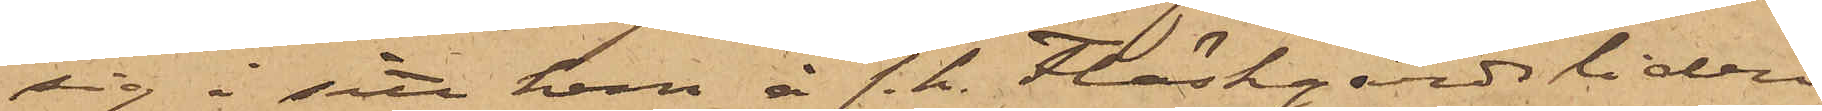sig i sitt hem å s. k. Fläskgårdsliden
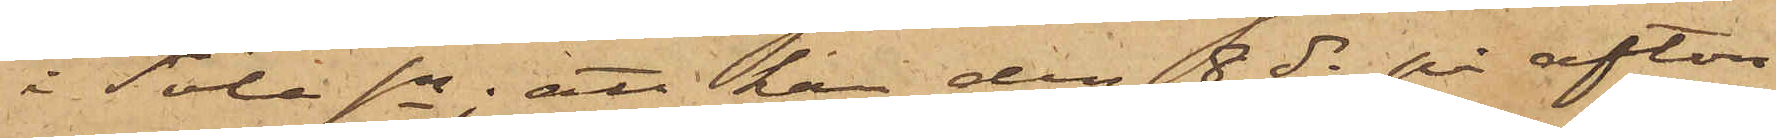i Töle sn; att han den 8 ds på afton
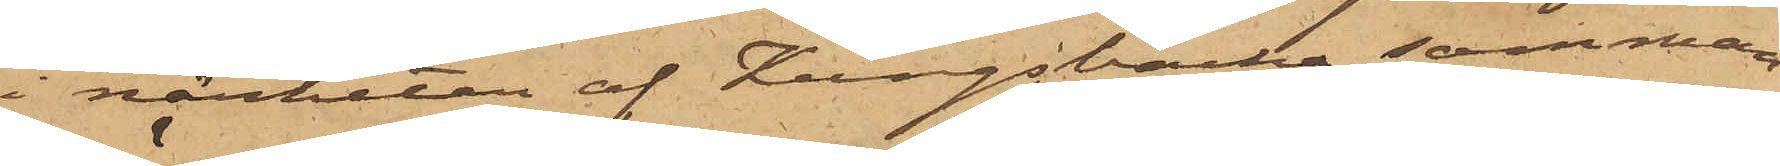i närheten af Kungsbacka samman¬
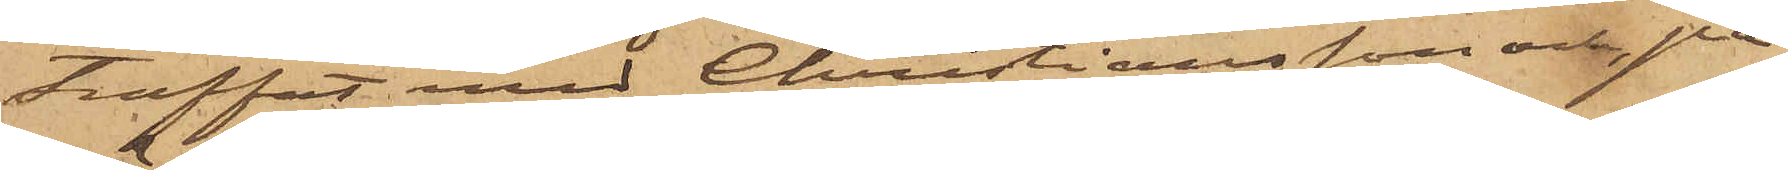träffat med Christiansson och, på
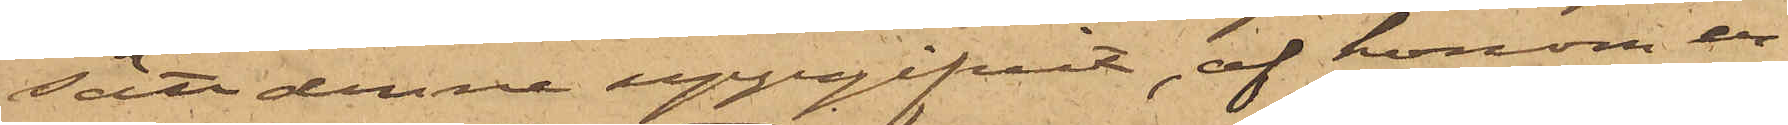sätt denne uppgifvit, af honom er¬
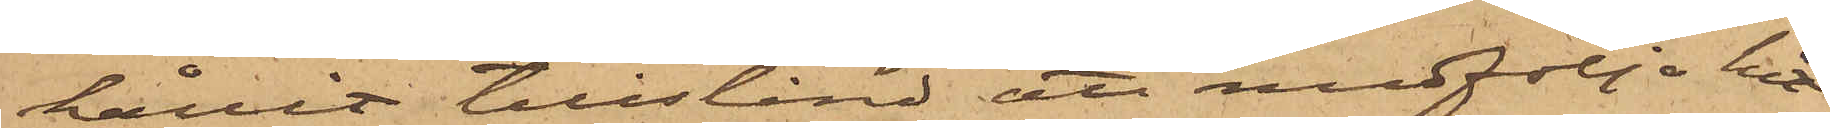hållit tillstånd att medfölja hit
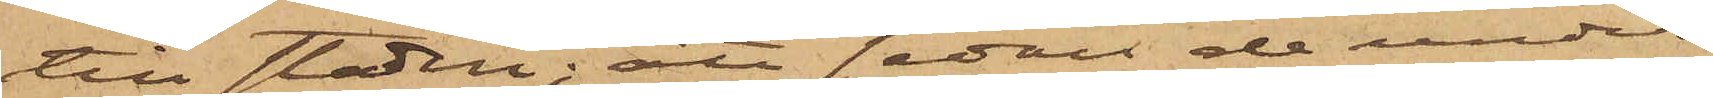till staden; att sedan de under
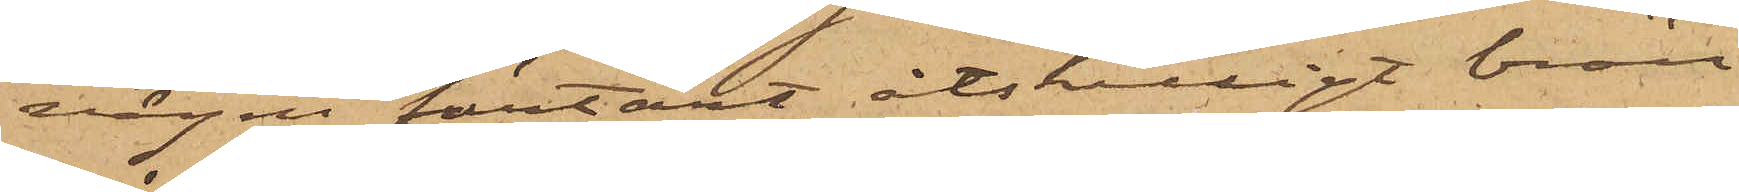vägen förtärt åtskilligt brän¬
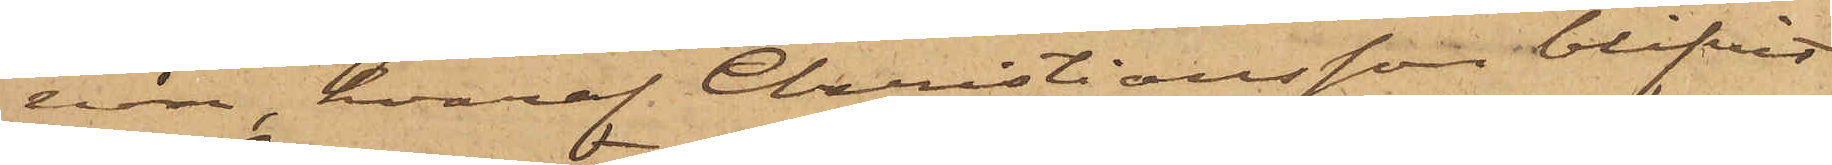vin, hvaraf Christiansson blifvit
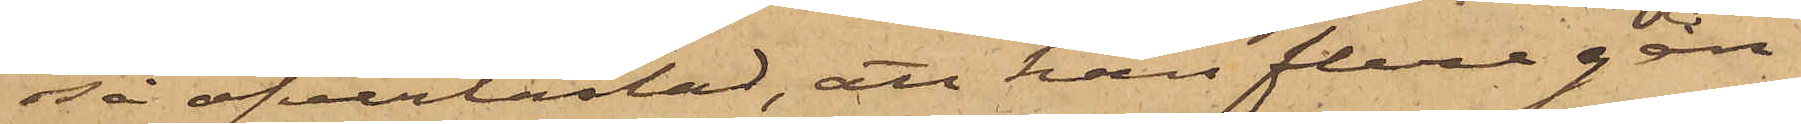så öfverlastad, att han flera gån¬
